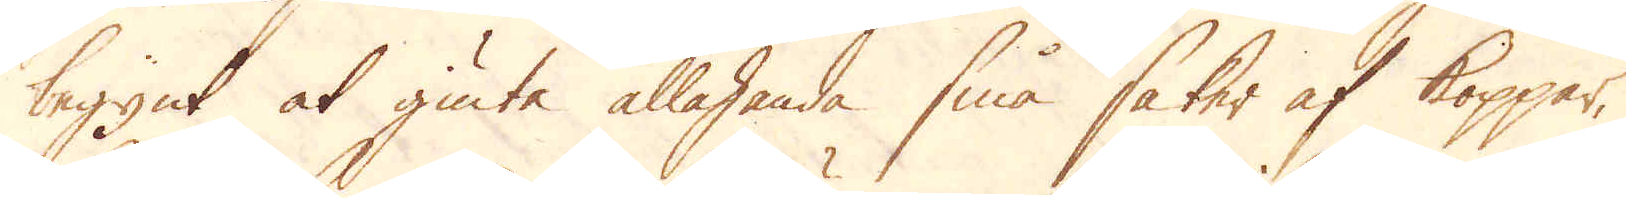begynt at giuta allahanda små saker af koppar,
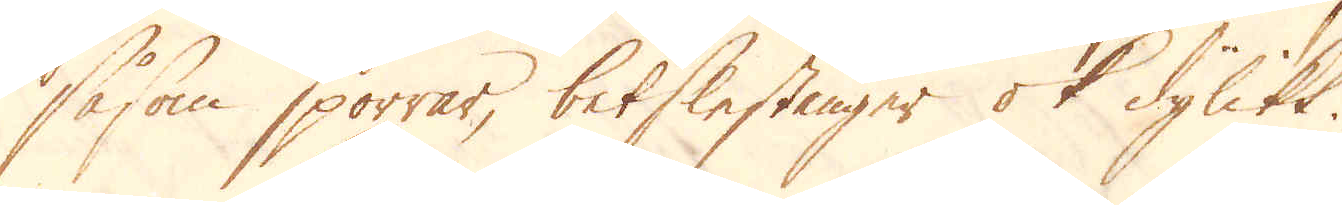såsom sporrar, betslestänger ok dylikt.
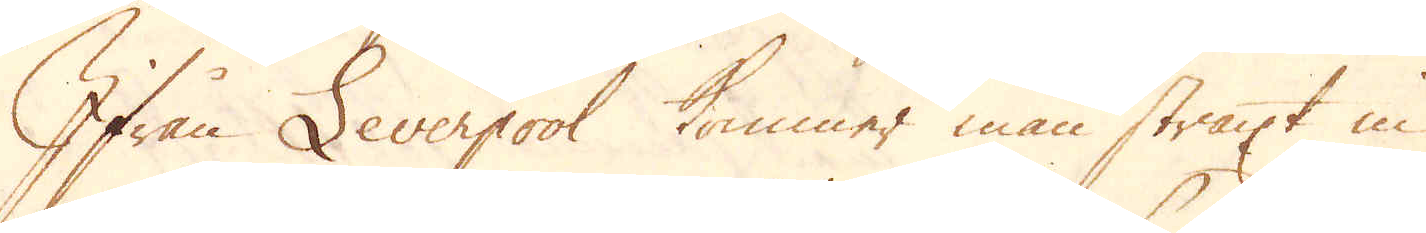Ifrån Leverpool kommer man straxt in
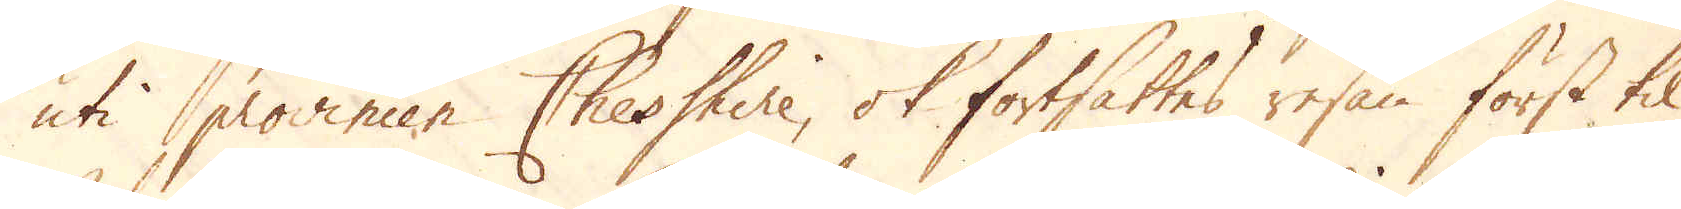uti provincen Cheshire, ok fortsattes resan först til
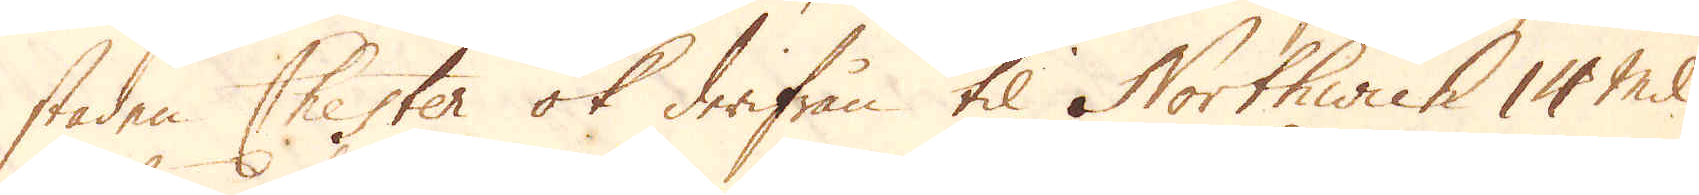staden Chester ok derifrån til Northwich 14 mil
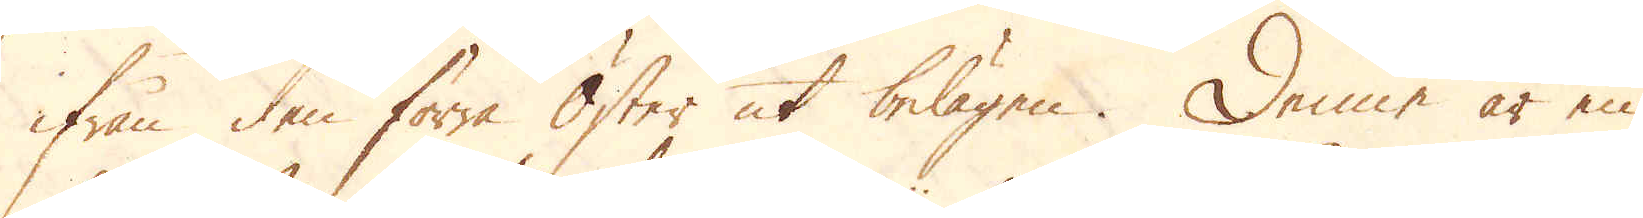ifrån den förra Öster ut belägen. Denne är en
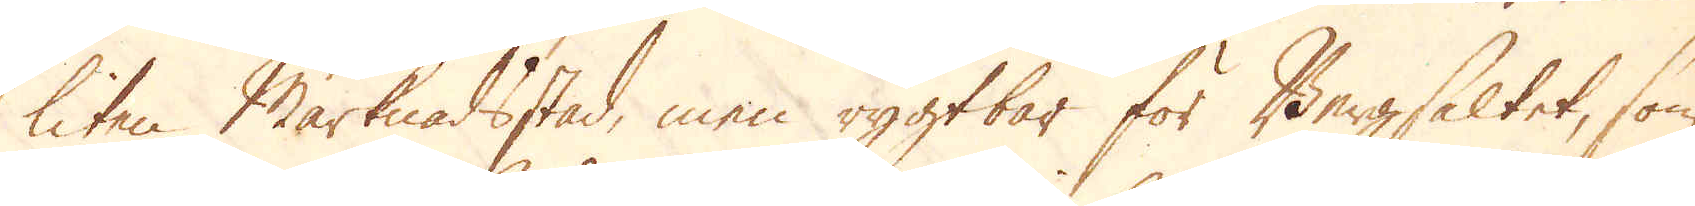liten Marknadsstad, men rygtbar för Bergsaltet, som
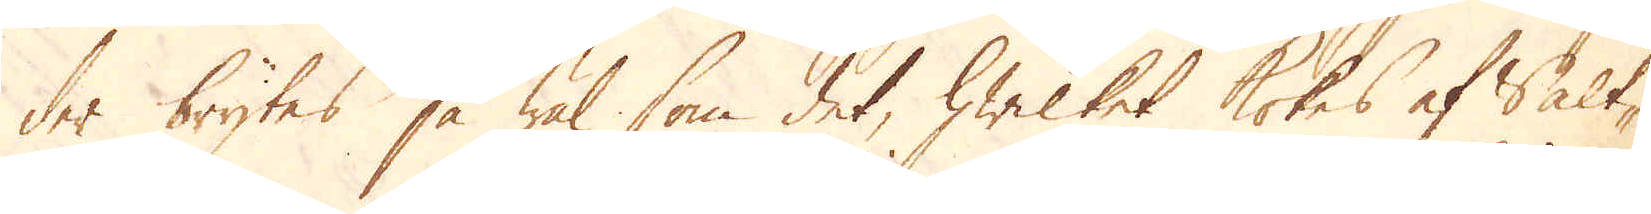der brytes så wäl som det, hwilket kokes af Salt-
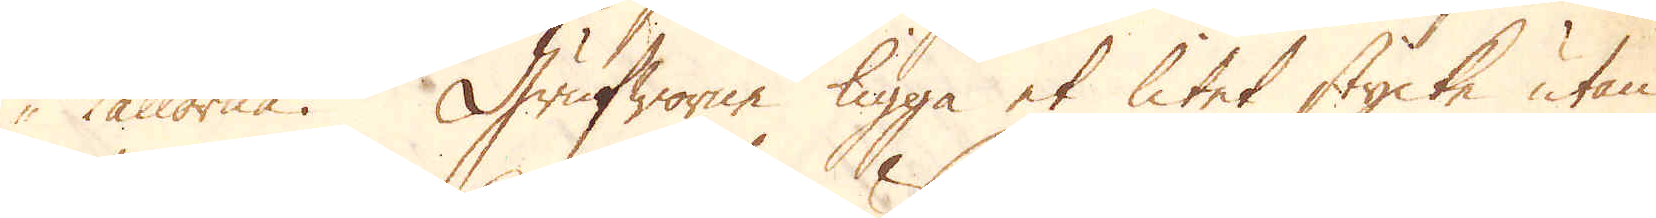källorna. Grufowrne ligga et litet stycke utan
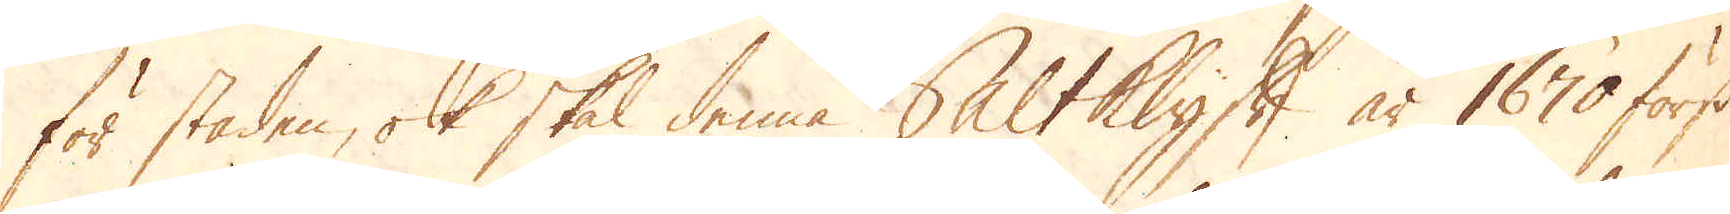för staden, ok skal denna Saltklyft år 1670 först
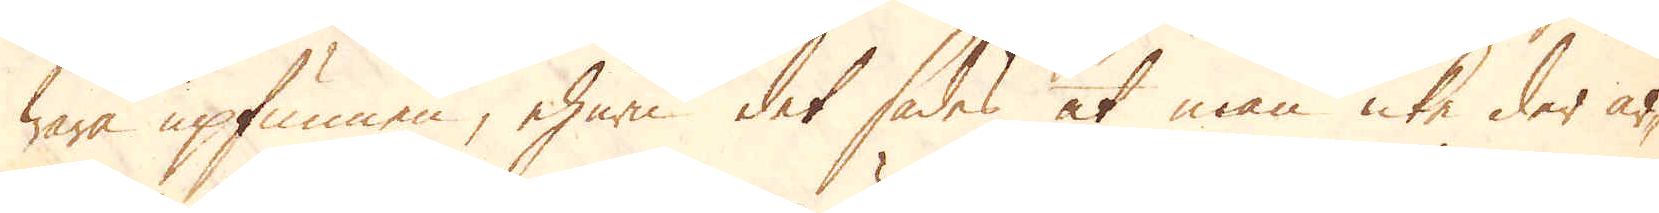wara upfunnen, ehuru det sades at man icke der ar-
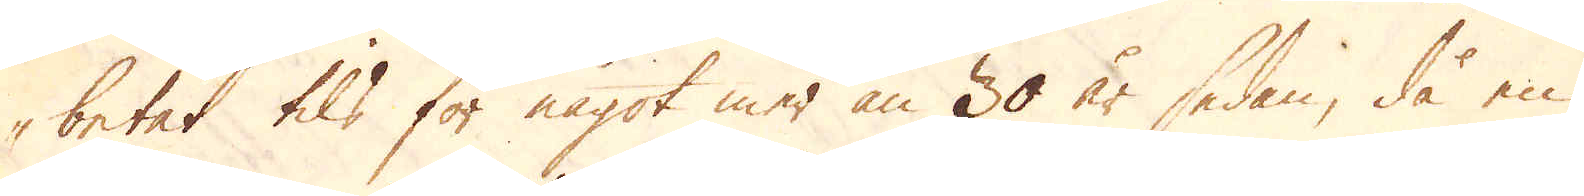betat tils för något mer än 30 år sedan, då en
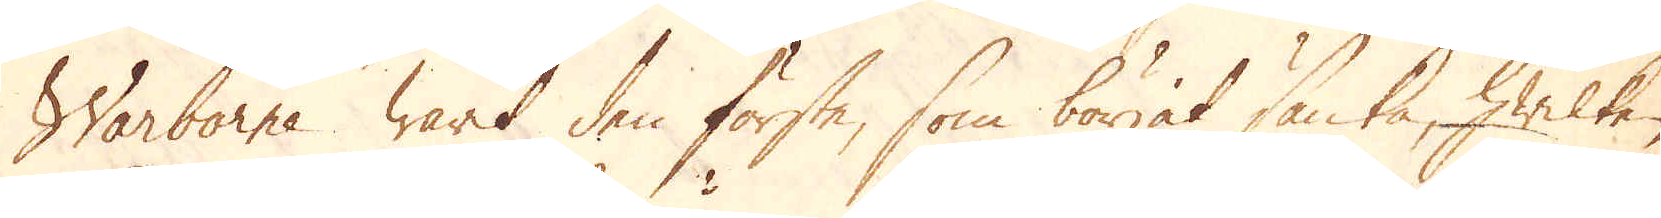Warborne warit den förste, som börjat sänka, hwilken
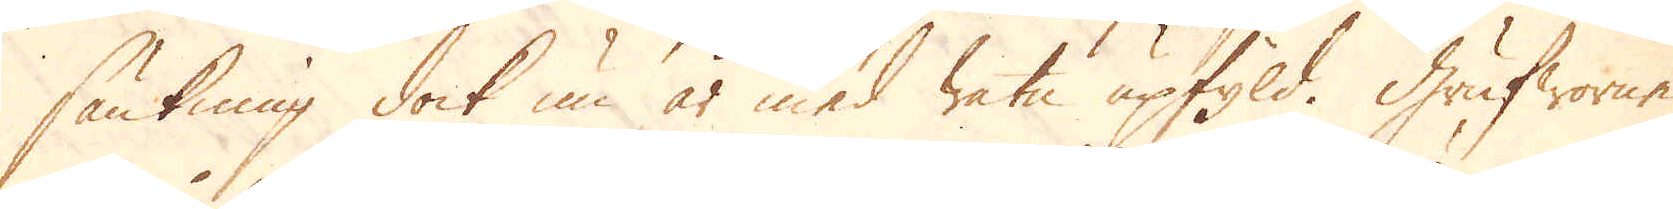sänkning dock nu är med watn upfyld. Grufworne
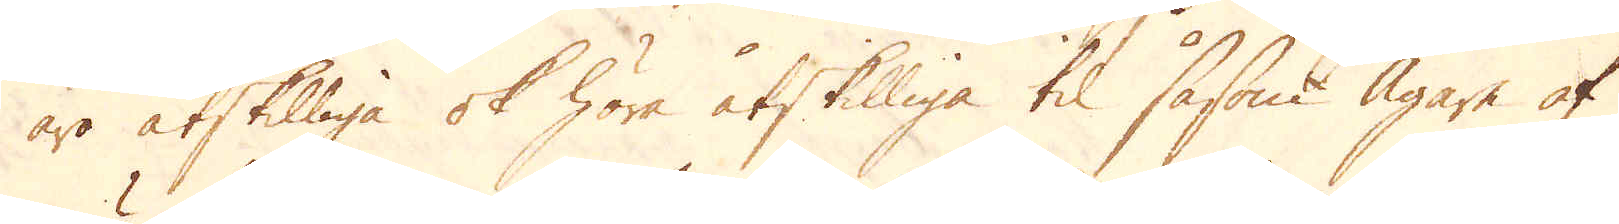äro åtskilliga ok höra åtskilliga til såsom Ägare af
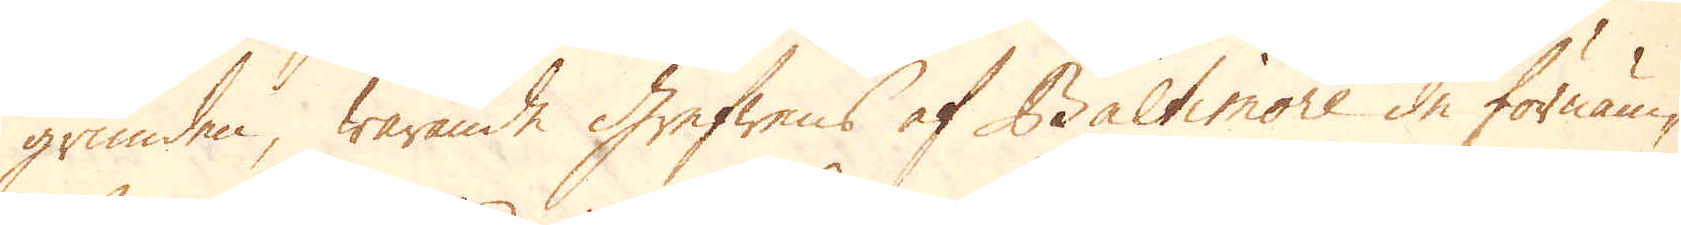grunden, warande Grefwens af Baltimore de förnäm-
